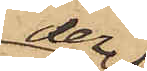der¬
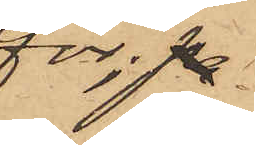för; pr
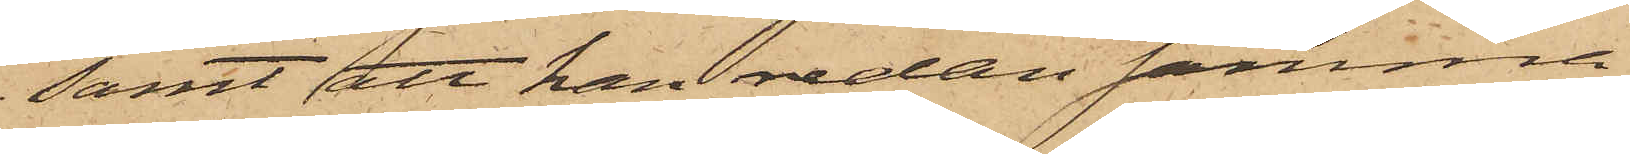samt att han redan samma
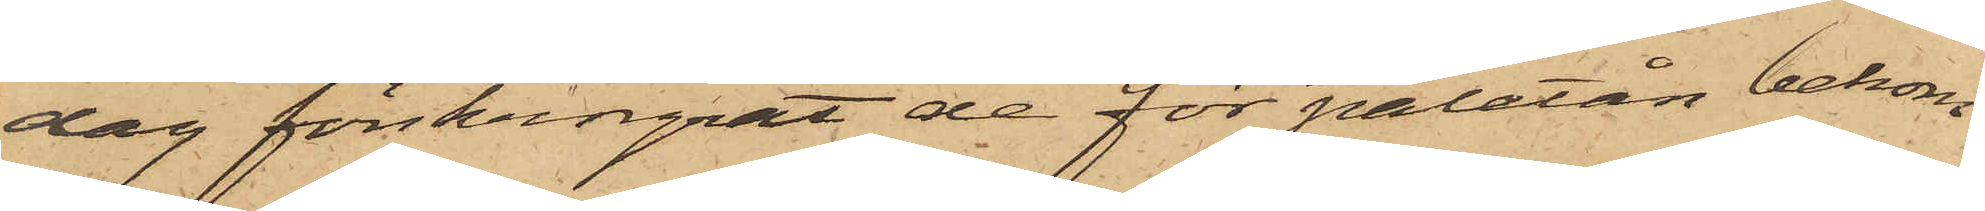dag förskingrat de för paletån bekom¬
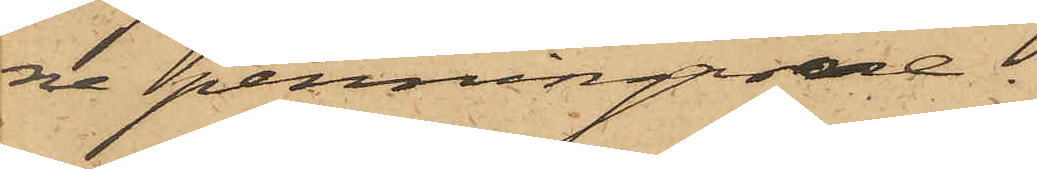ne penningarne.
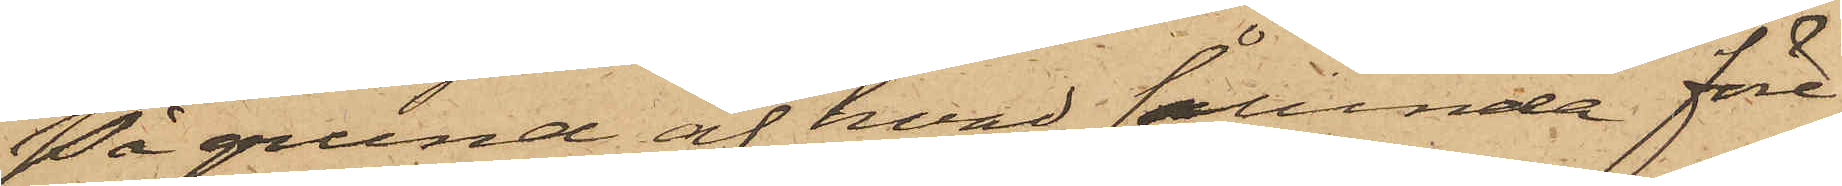På grund af hvad sålunda före¬
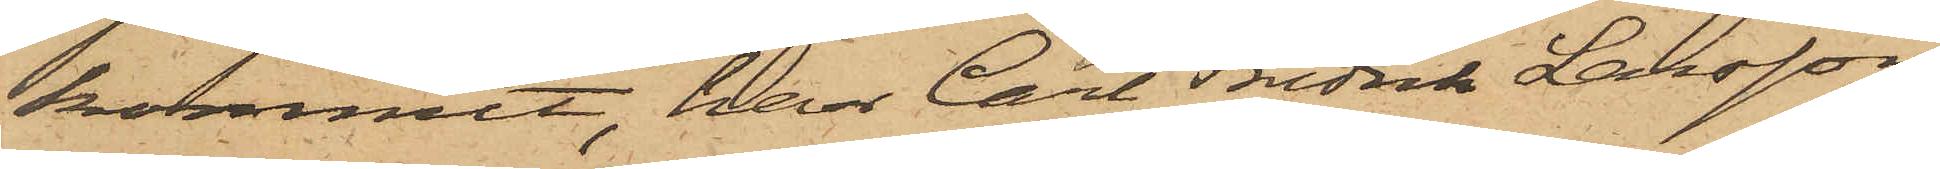kommit, har Carl Fredrik Larsson
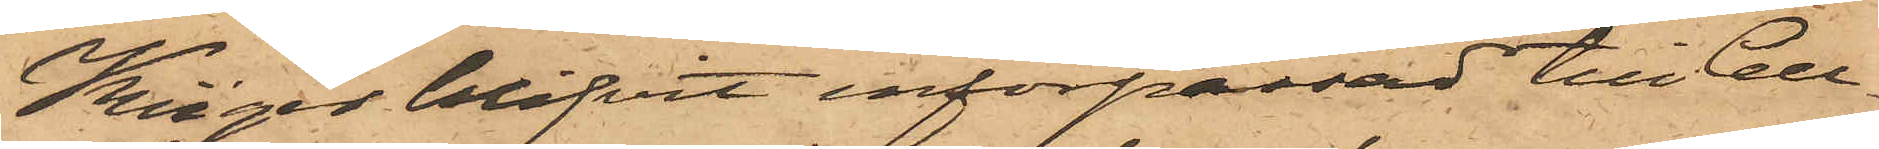Krüger blifvit införpassad till Cell¬
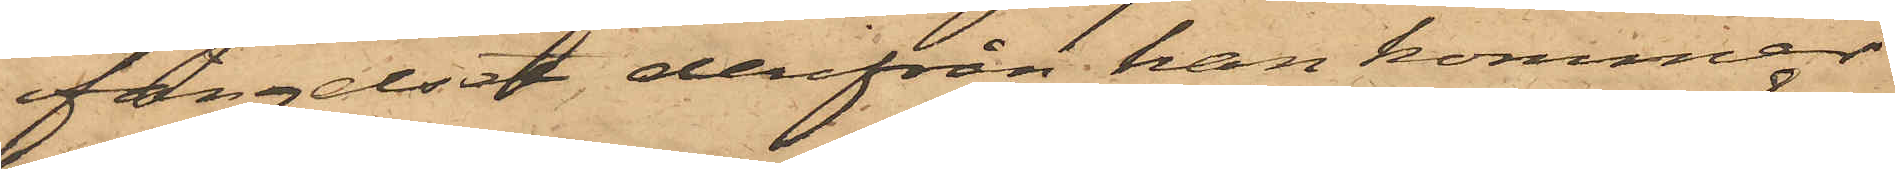fängelset, derifrån han kommer
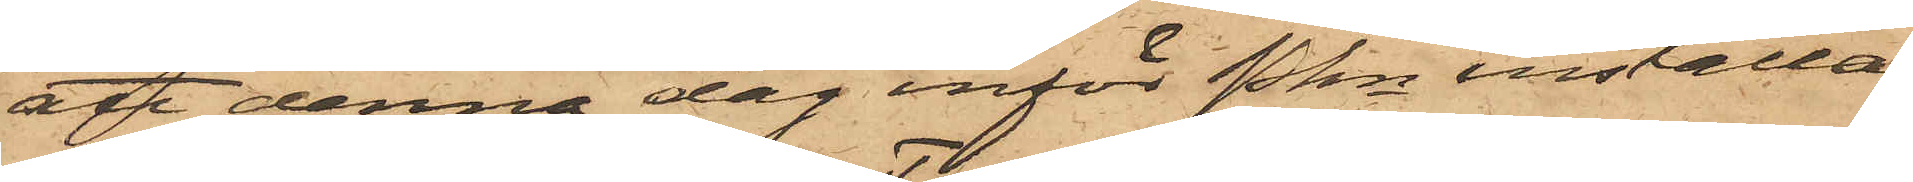att denna dag inför Pkn inställas.
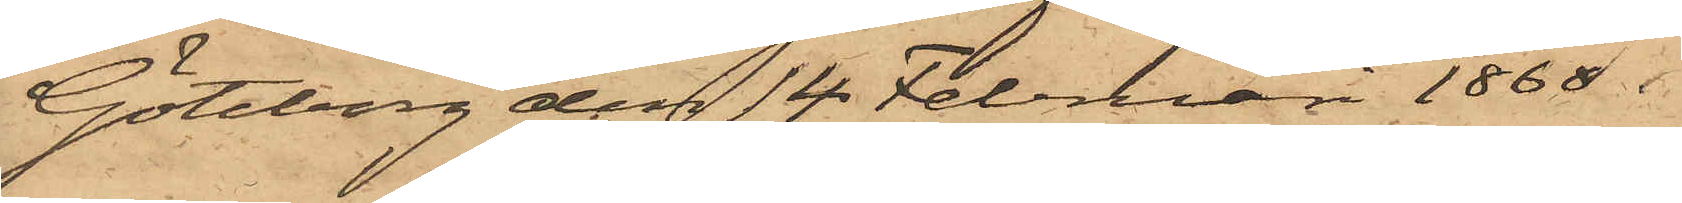Göteborg den 14 Februari 1868.
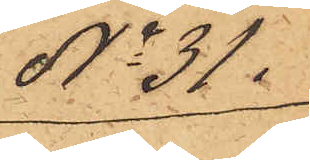No 31.
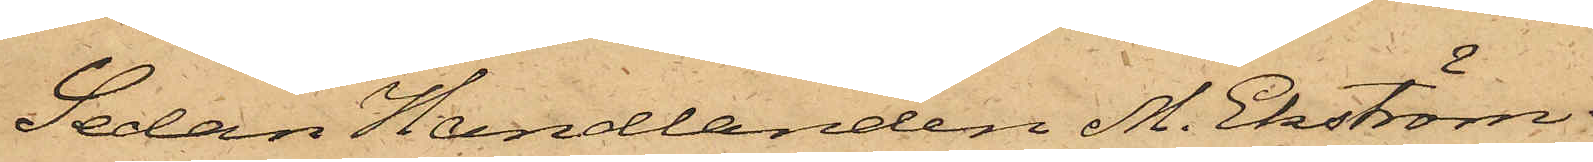Sedan Handlanden M. Ekström
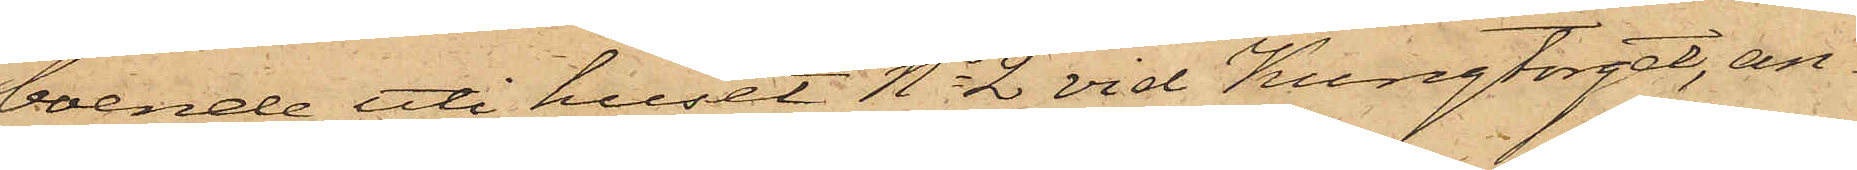boende uti huset No 2 vid Kungtorget, an¬
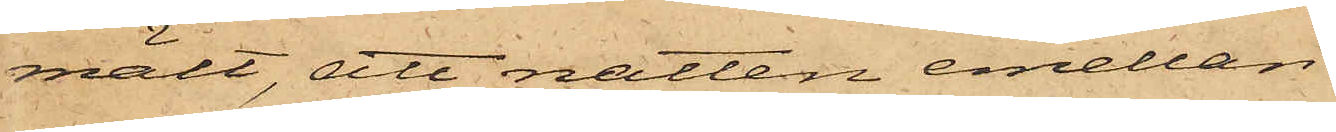mält, att natten emellan
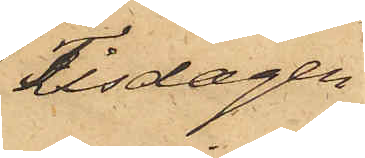Tisdagen
